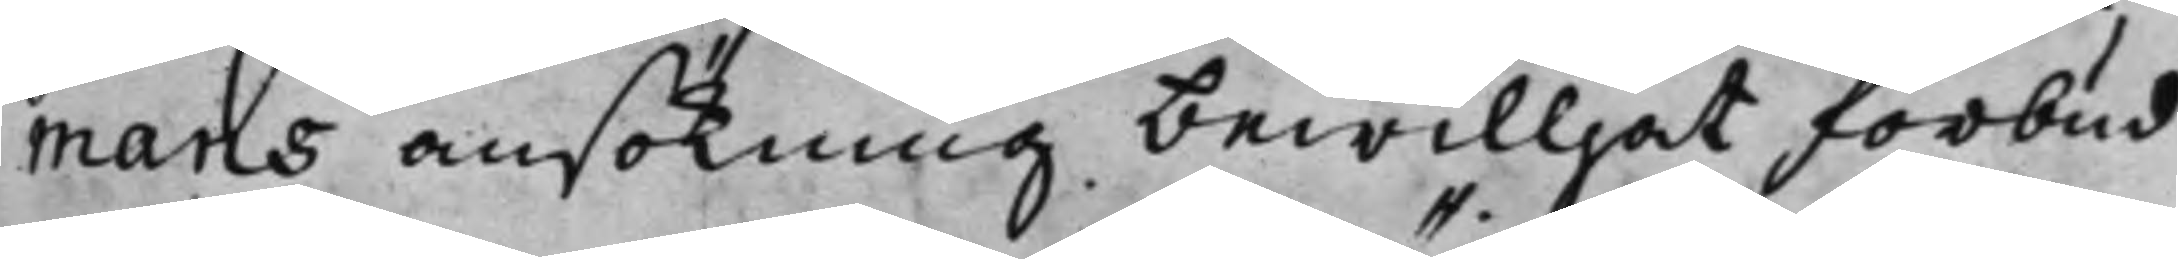mans ansökning bewilljat förbud
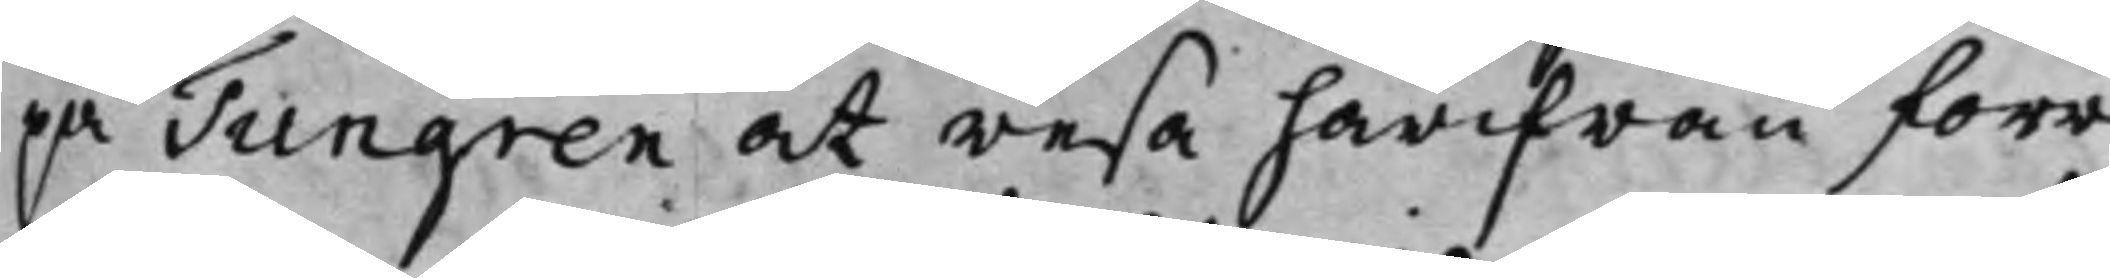på Tungren at resa härifrån förr
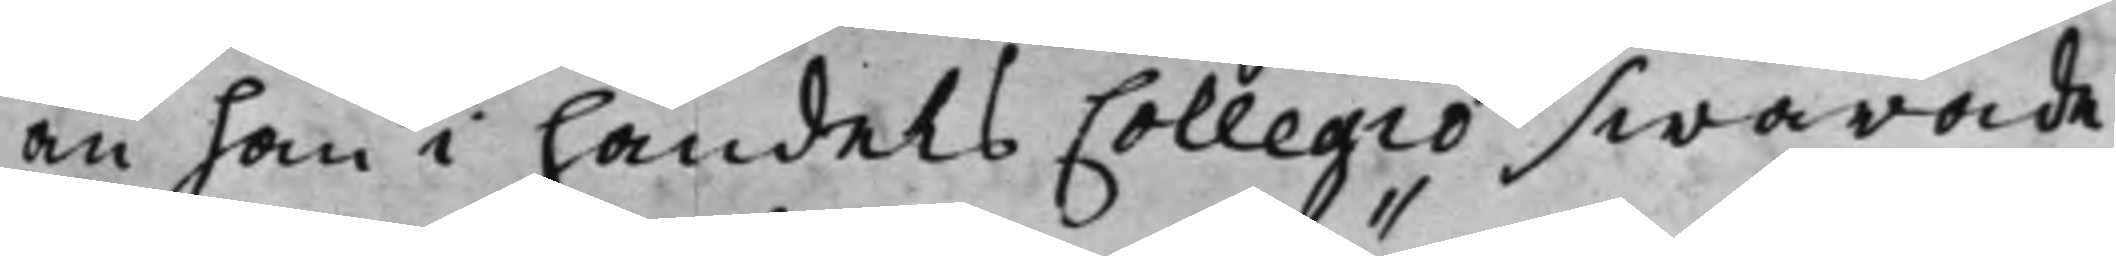än han i handels Collegio swarade
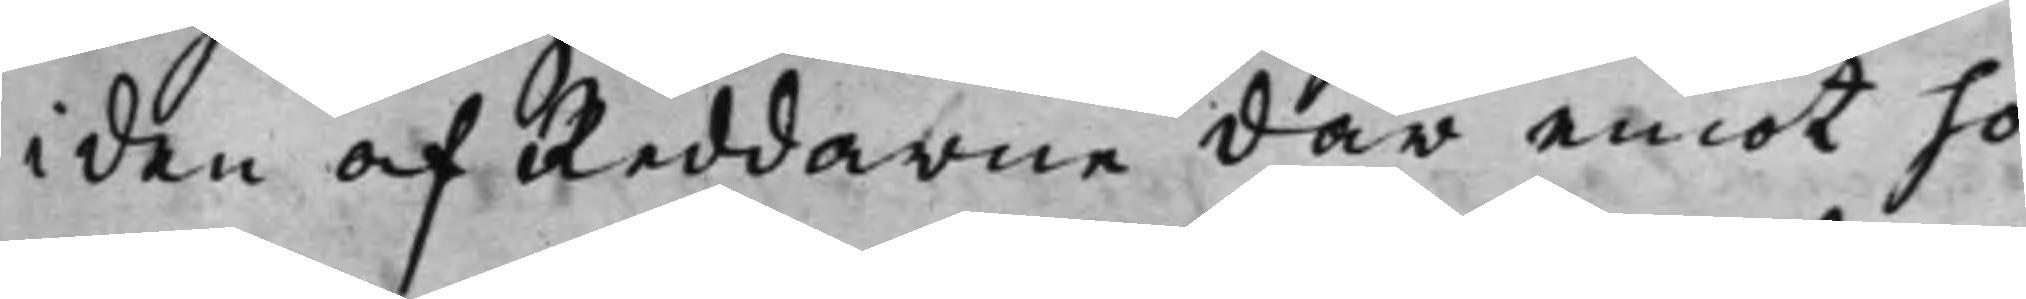i den af Reddarne där emot ho¬
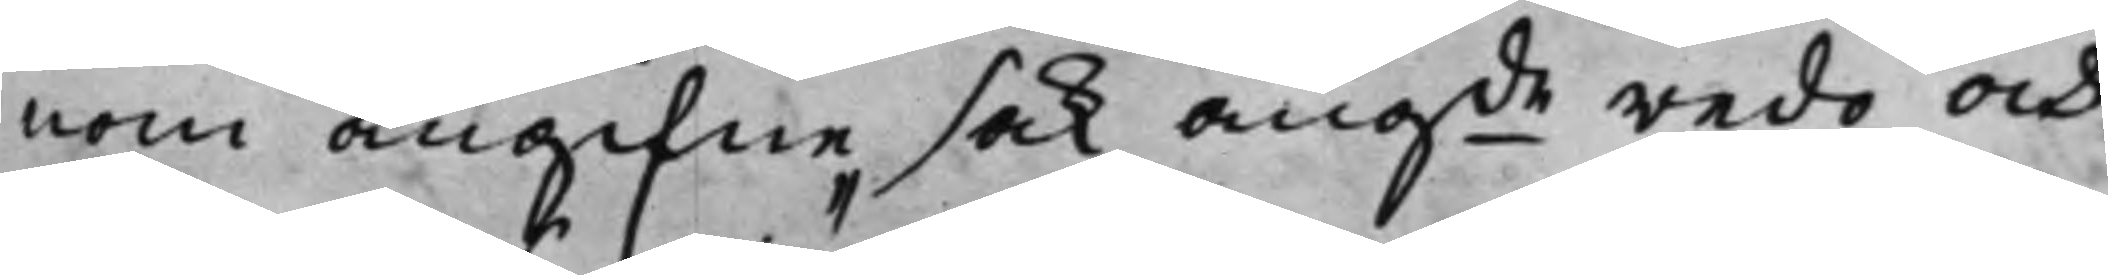nom angifne sak, angde redo och
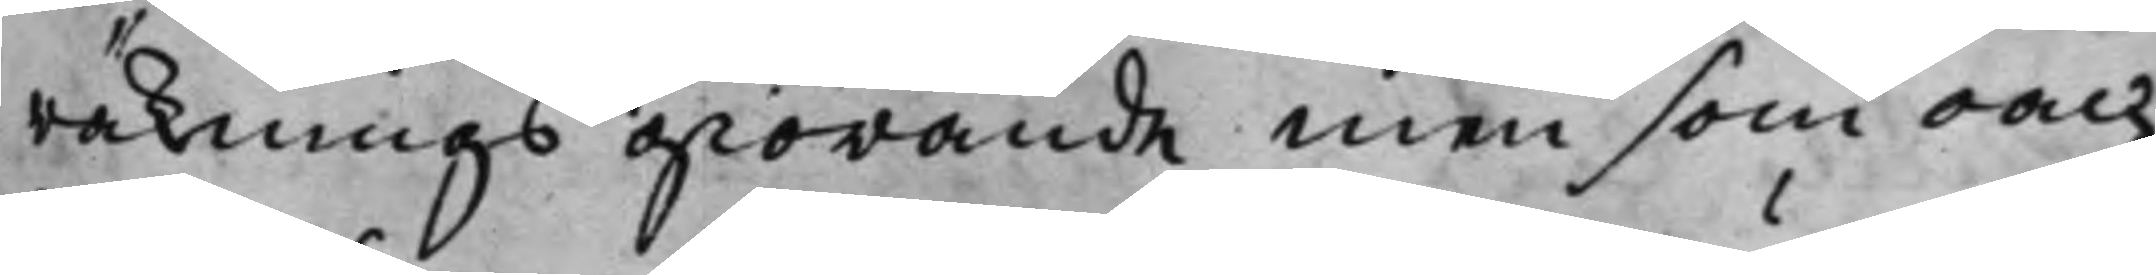räknings giörande men som oach¬
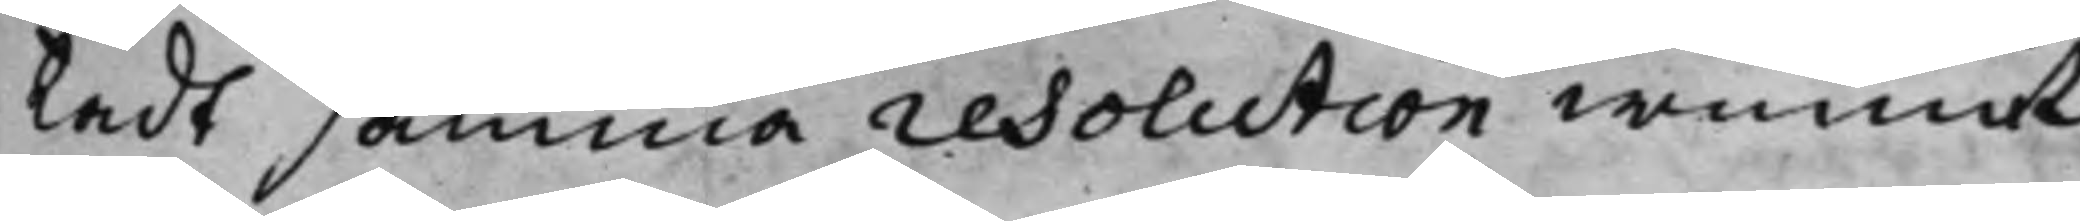tadt samma resolution wunnit
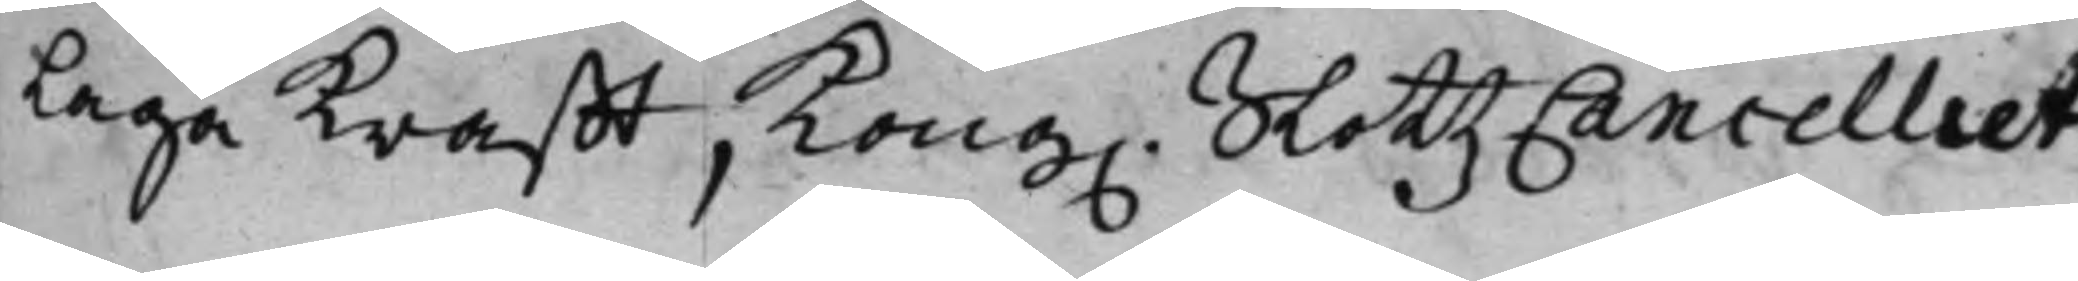Laga krafft, Kong. SlottzCancelliet
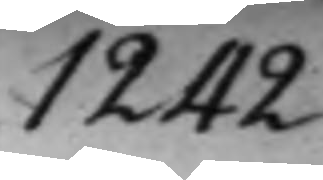1242.
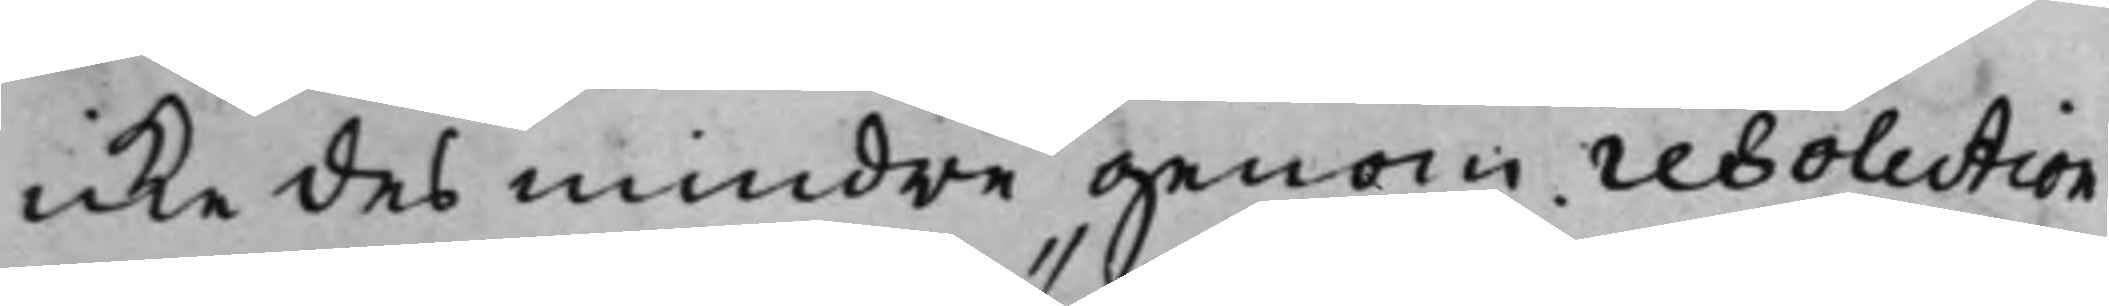icke des mindre genom resolution
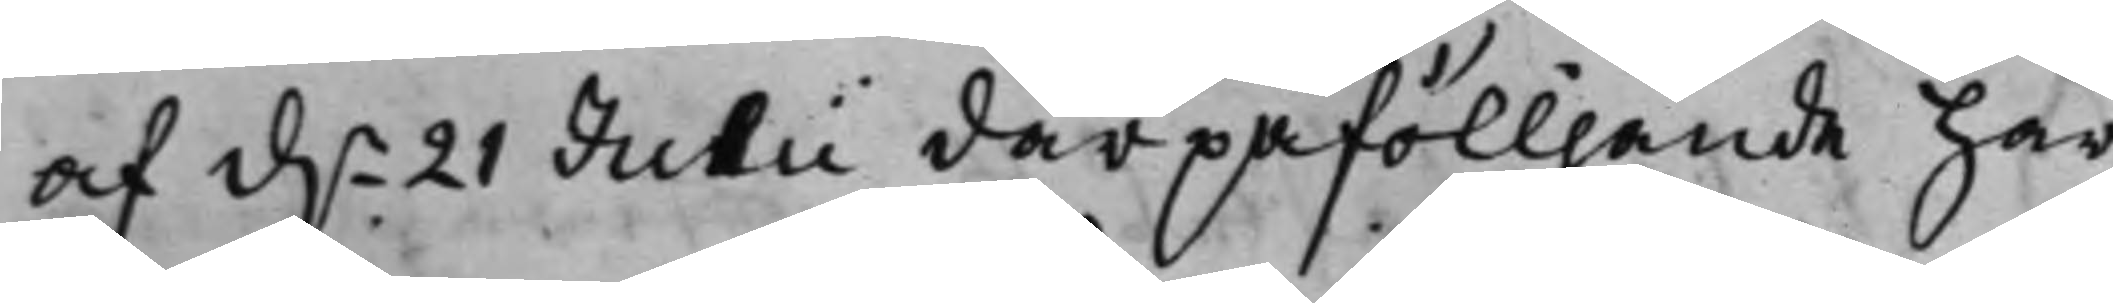af d.n 21 Julii därpåfölljande har
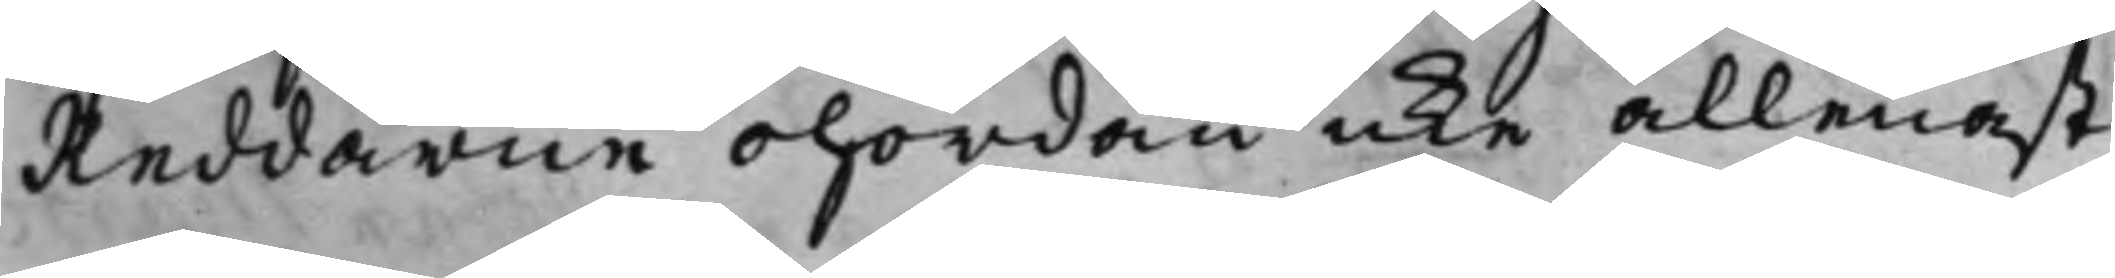Reddarne ohördan icke allenast
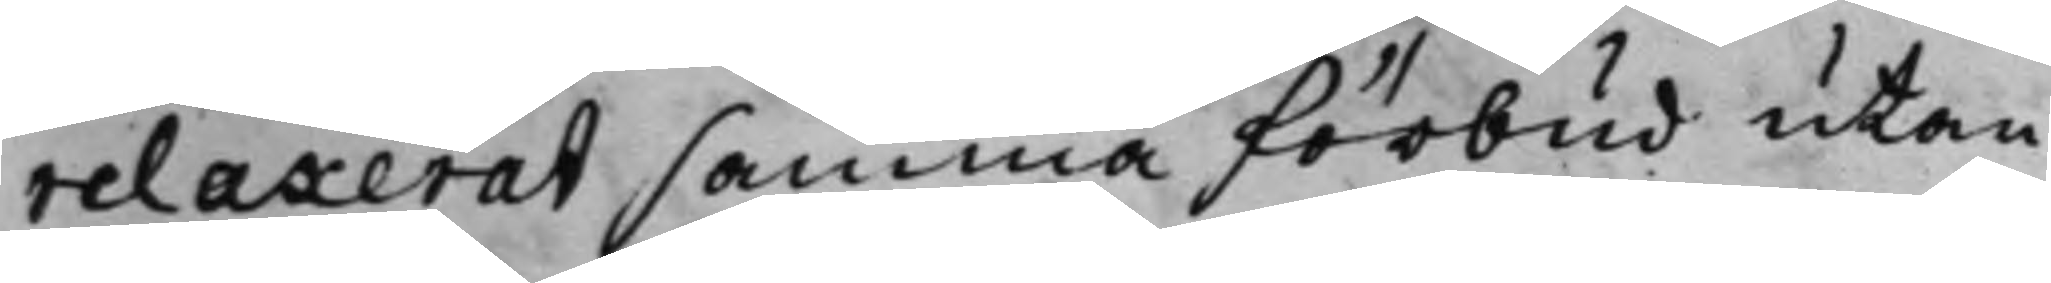relaxerat samma förbud utan
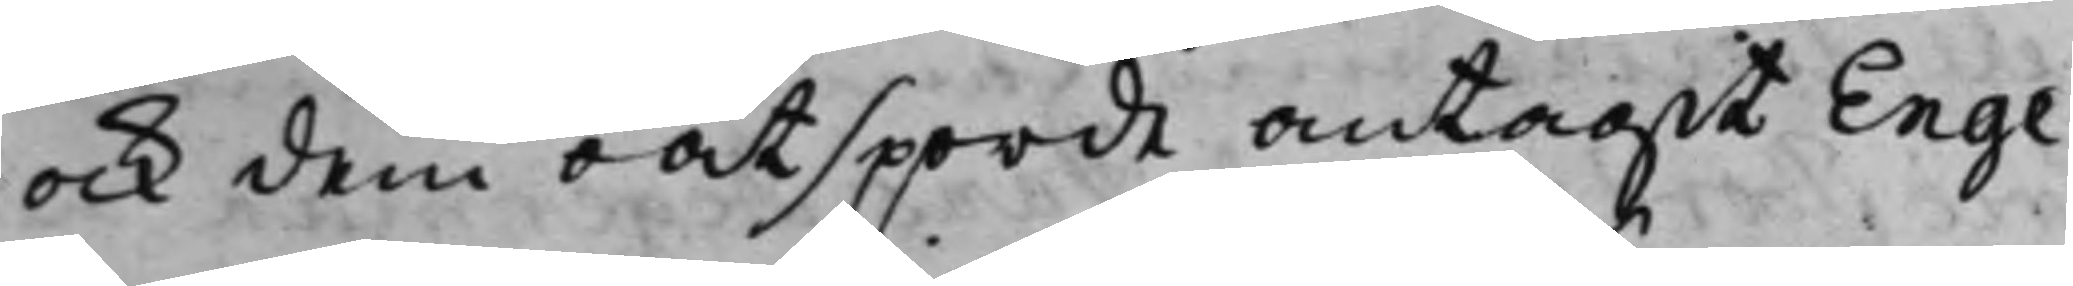ock dem oåtsporde antagit Enge¬
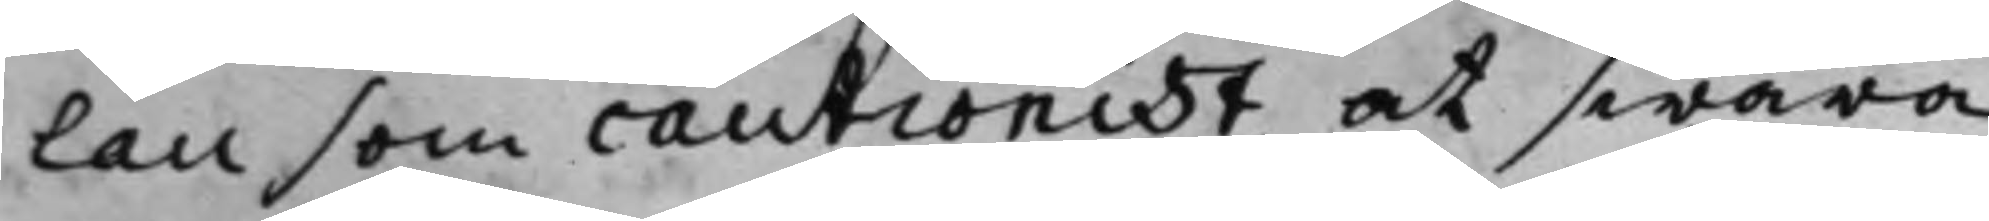lau som cautionist at swara
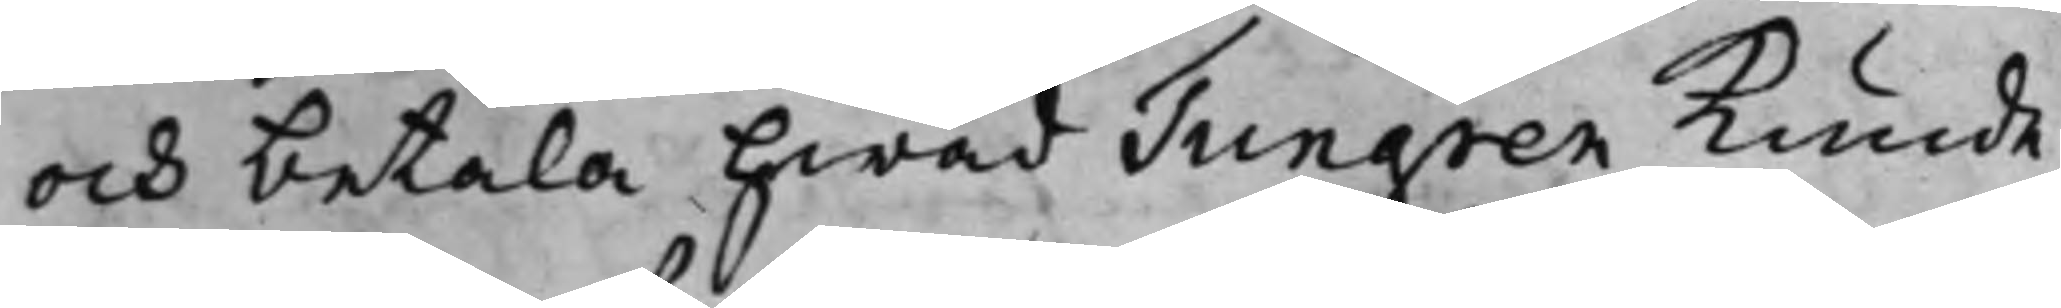och betala hwad Tungren kunde
